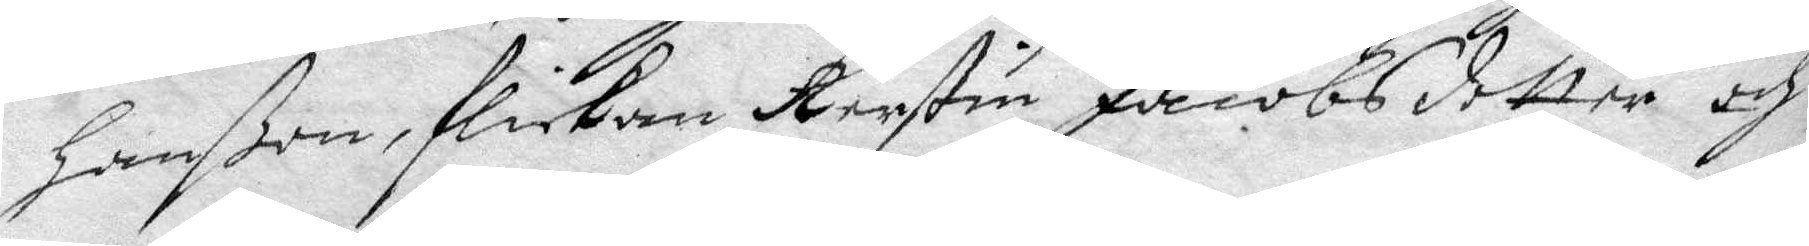hanßon, flickan Kerstin Jacobsdotter och
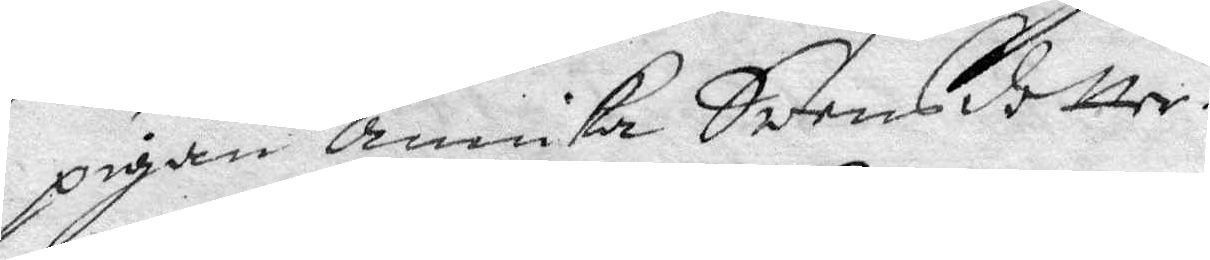pigan Annika Swensdotter.
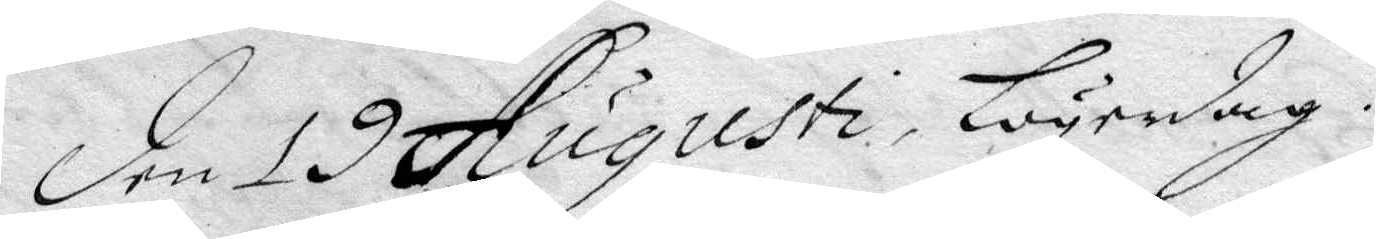den 19 Augusti, Lögedag.
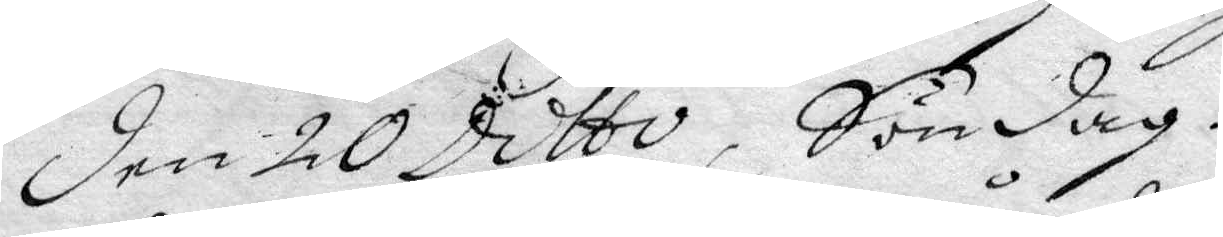den 20 Ditto, Söndag.
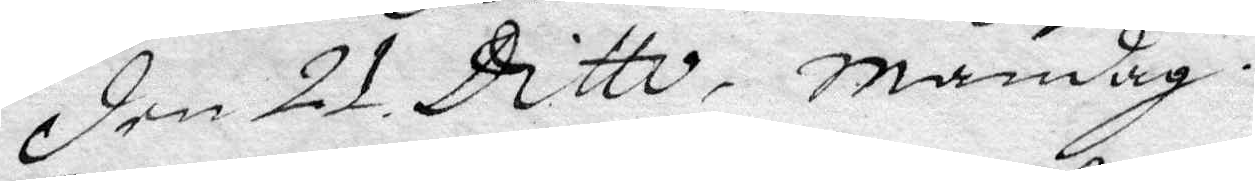den 21 Ditto, måndag.
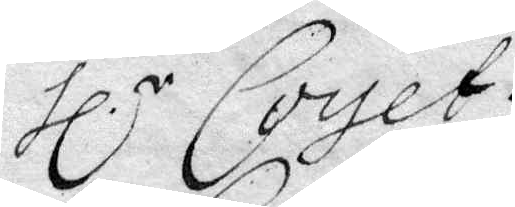Hl.r Coyet.
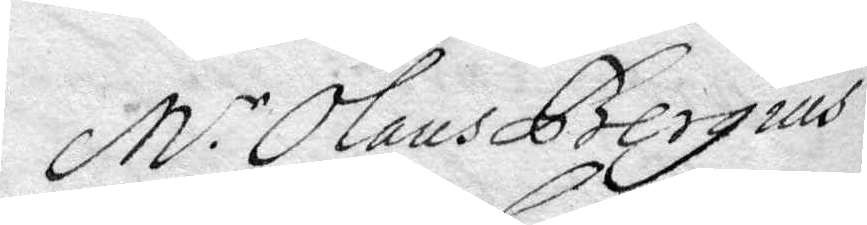M.r Olaus Bergius.
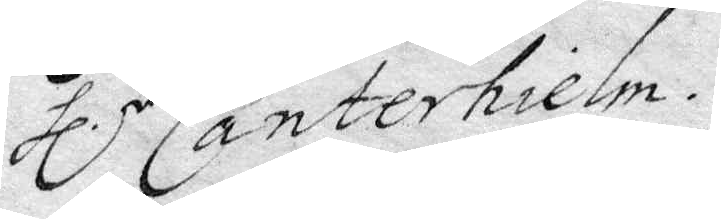Hl.r Canterhielm.
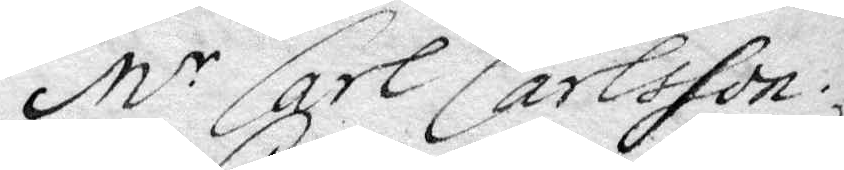M.r Carl Carlsson.
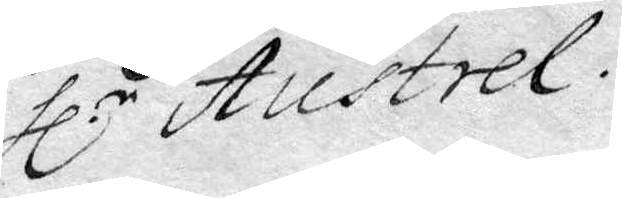Hl.r Austrel.
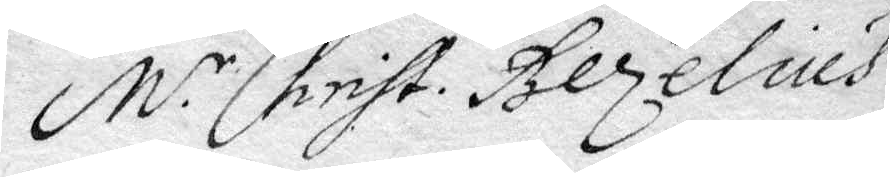M.r Christ. Bezelius.
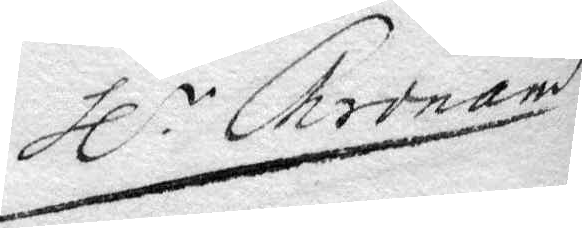Hl.r Chronand
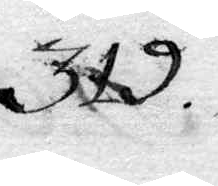319.
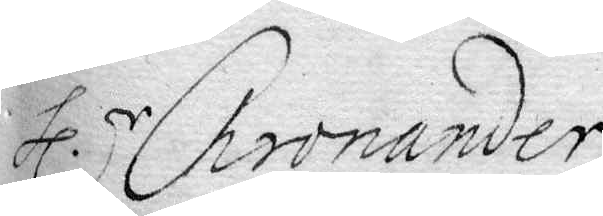Hl.r Chronander.
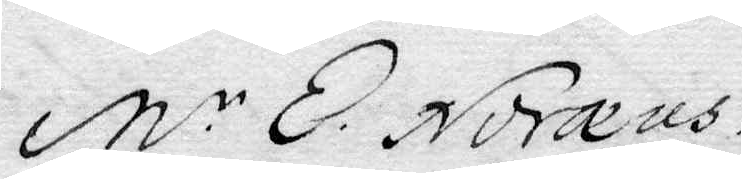M.r E. Noreus.
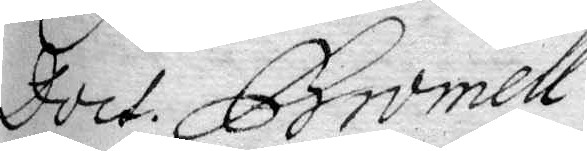Doct. Bromell.
